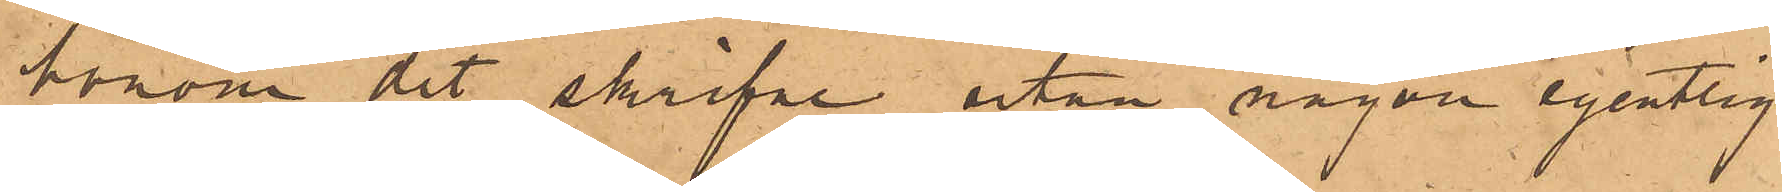honom det skrifne utan någon egentlig
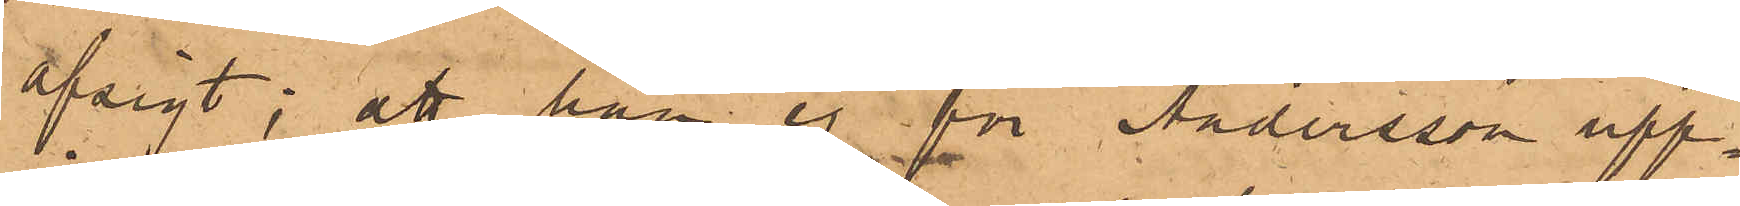afsigt; att han ej för Andersson upp¬
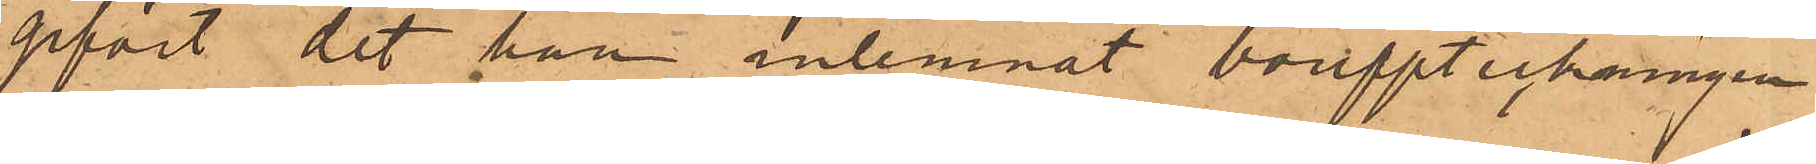gifvit det han inlemnat bouppteckningen
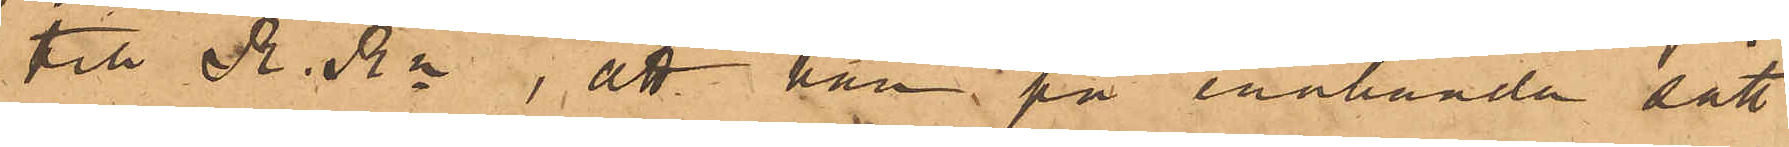till R. Rn; att han på enahanda sätt
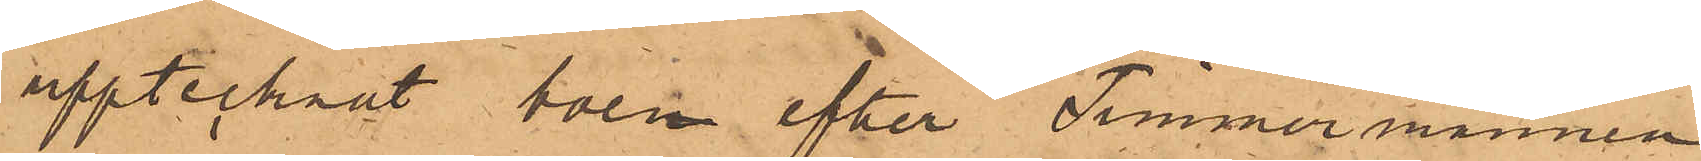upptecknat boen efter Timmermannen
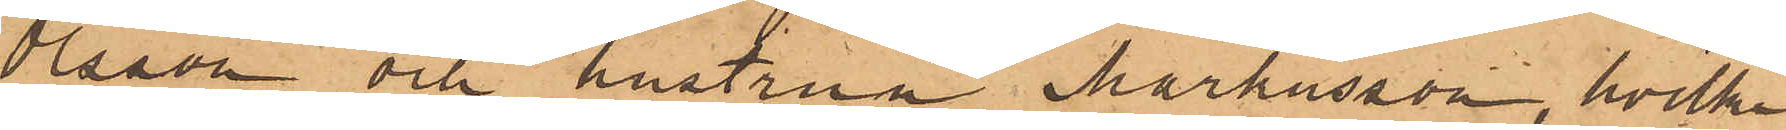Olsson och hustrun Markusson, hvilka
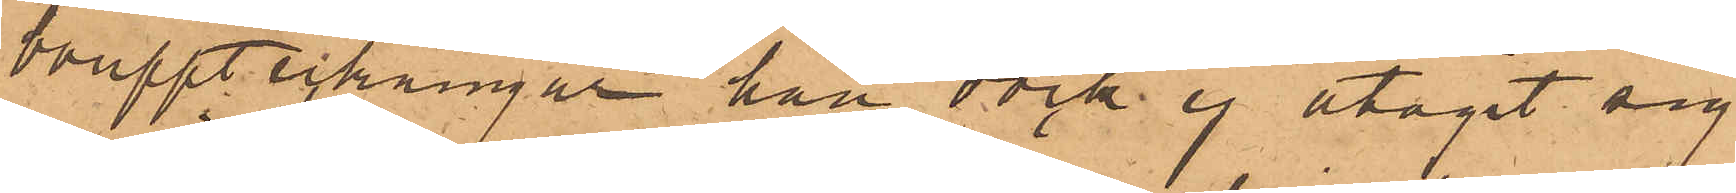bouppteckningar han dock ej åtagit sig
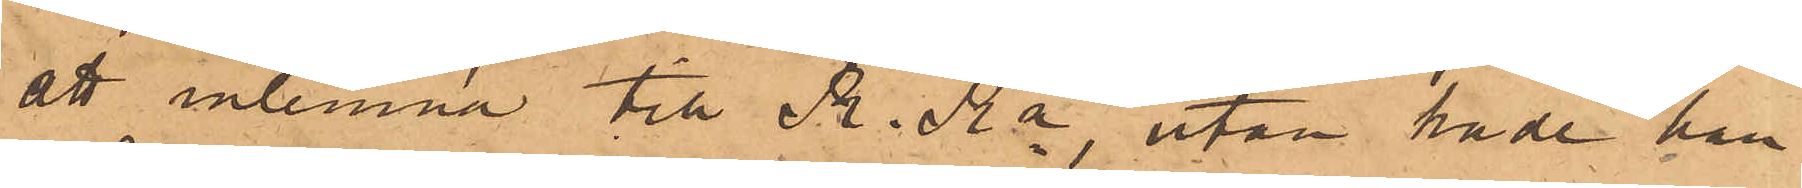att inlemna till R. Rn, utan hade han
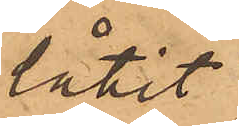låtit
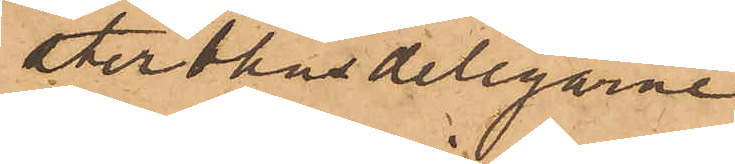sterbhusdelegarne
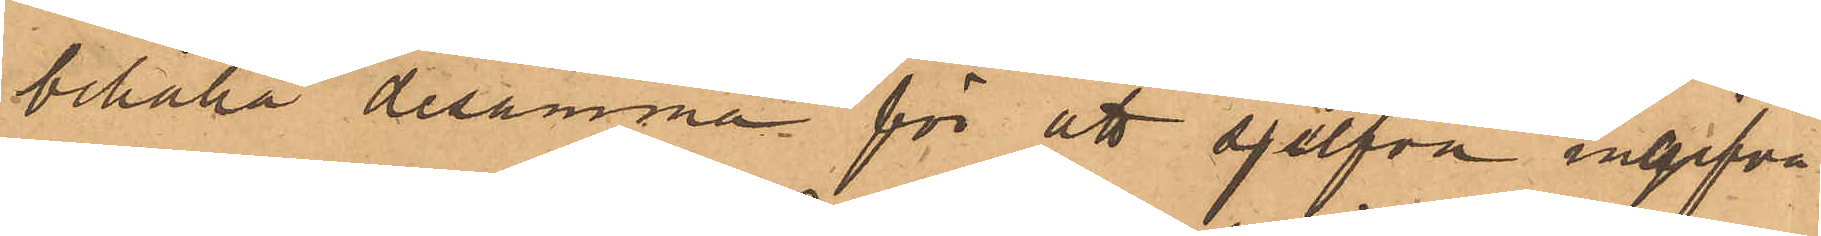behålla desamma för att sjelfva ingifva
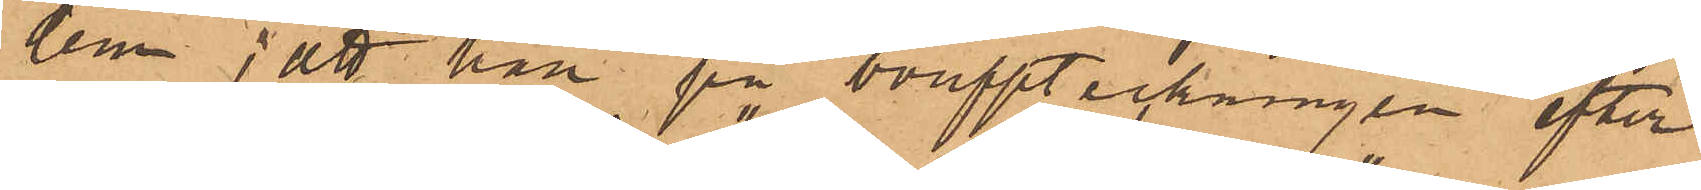dem; att han på bouppteckningen efter
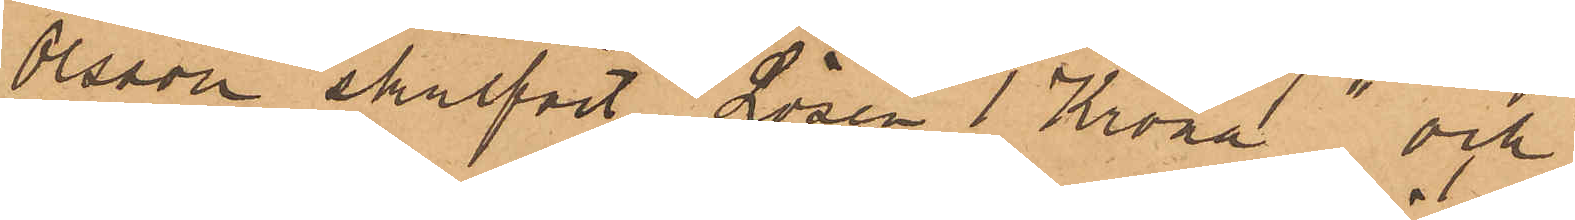Olsson skrifvit "Lösen 1 Krona" och
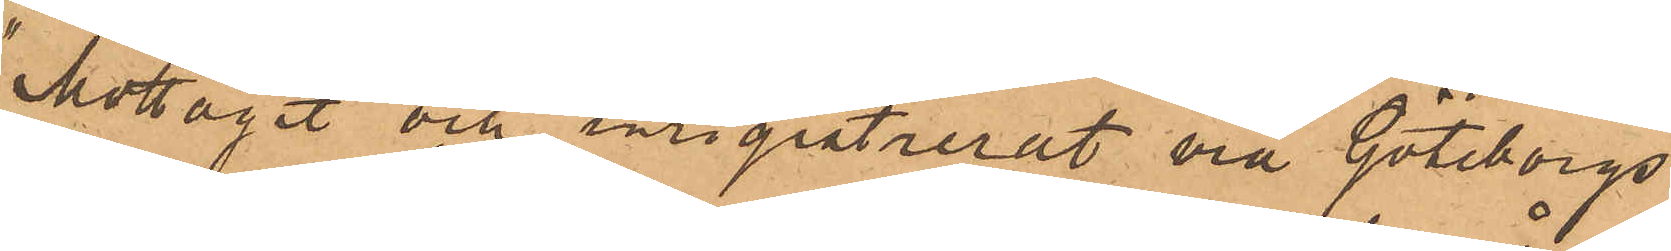"Mottagit och ingistrerat via Göteborgs
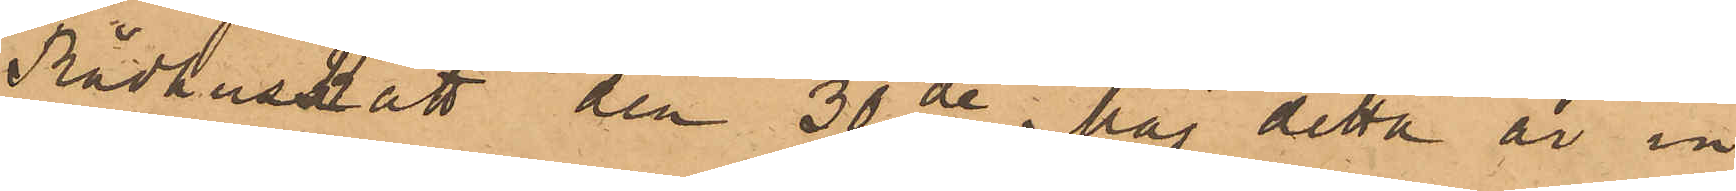Rådhusrätt den 30 de har detta år in¬
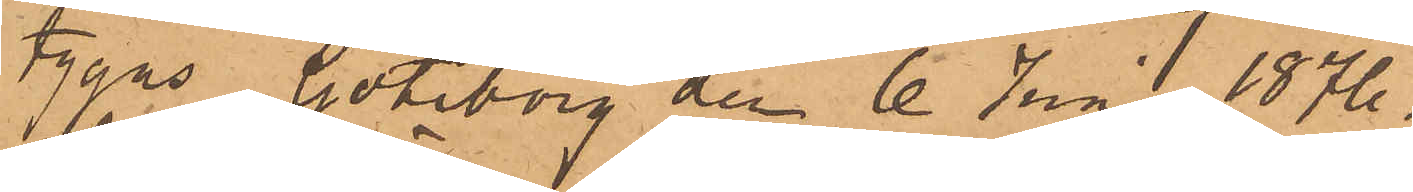tygas Göteborg den 6 Juni 1876.
